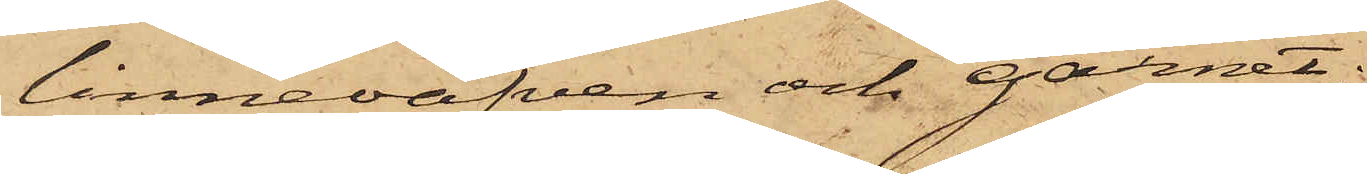linneväfven och garnet;
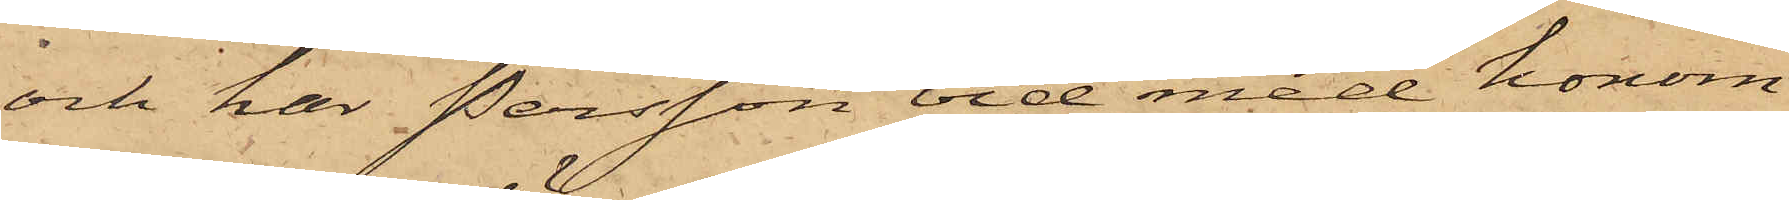och har Persson vid med honom
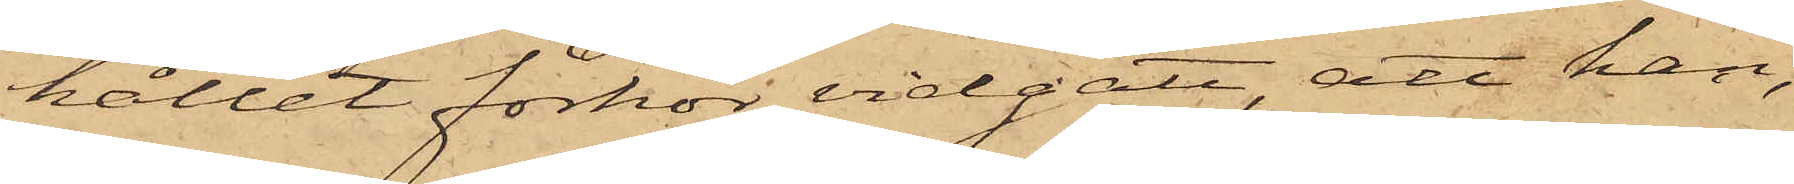hållit förhör vidgått, att han,
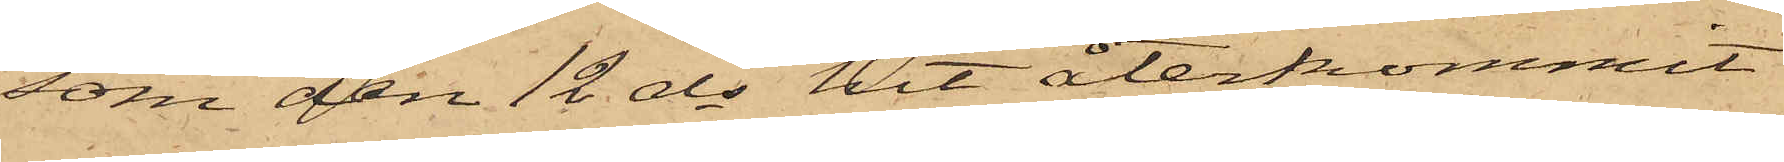som den 12 ds hit återkommit
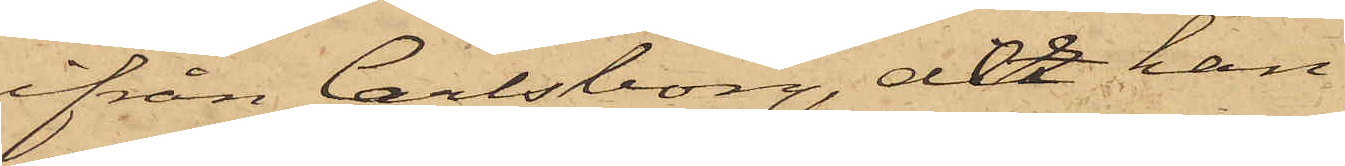ifrån Carlsborg, der han
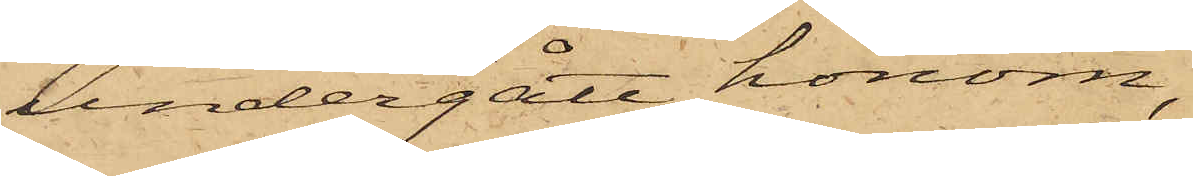undergått honom,
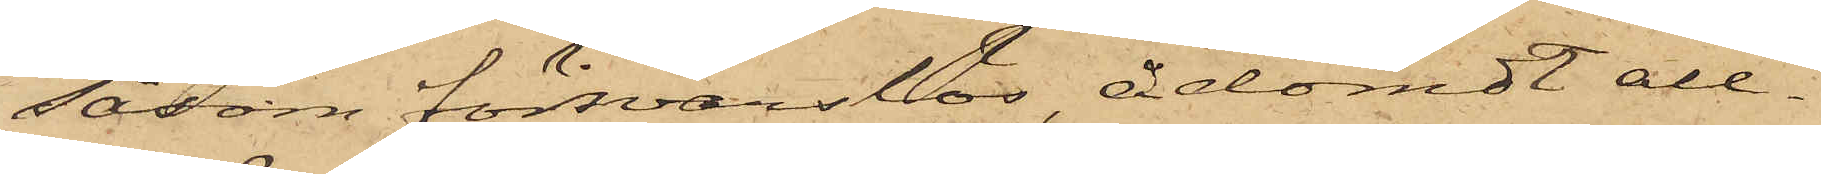såsom försvarslös, ådömdt all¬
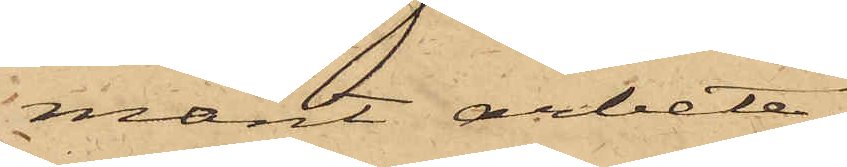mänt arbete,
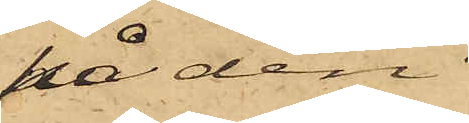på den
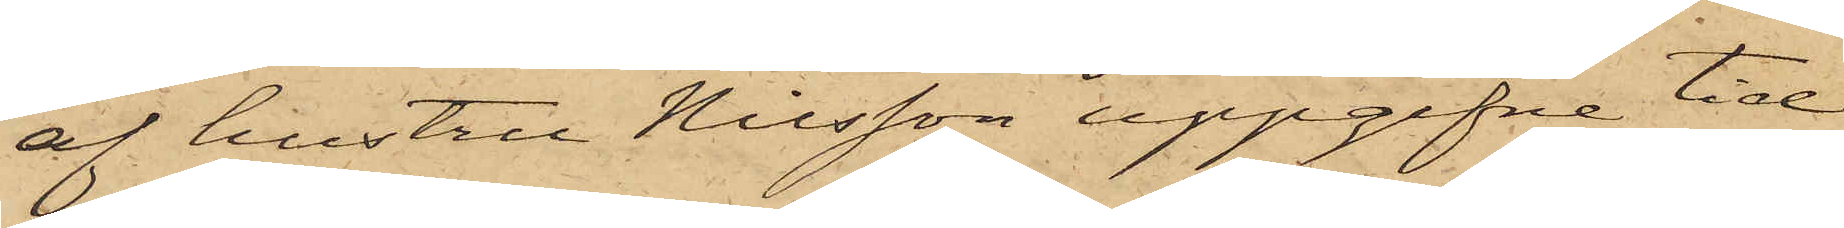af hustru Nilsson uppgifne tid
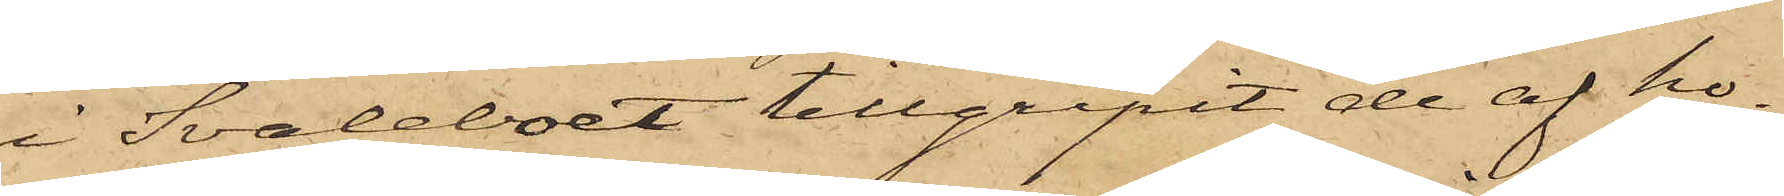i Svaleboet tillgripit de af ho¬
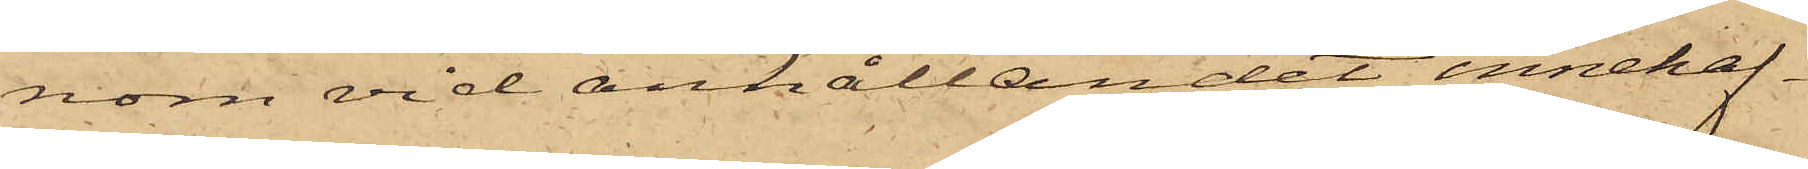nom vid anhållandet innehaf¬
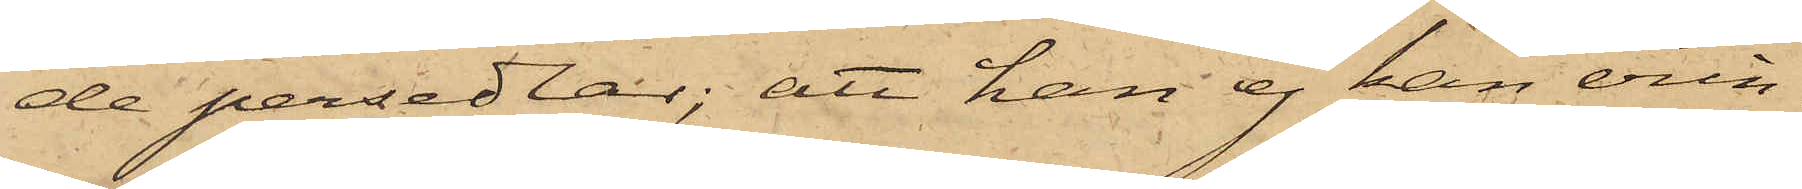de persedlar; att han ej kan erin¬
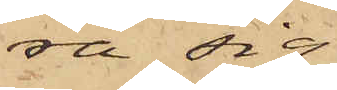ra sig,
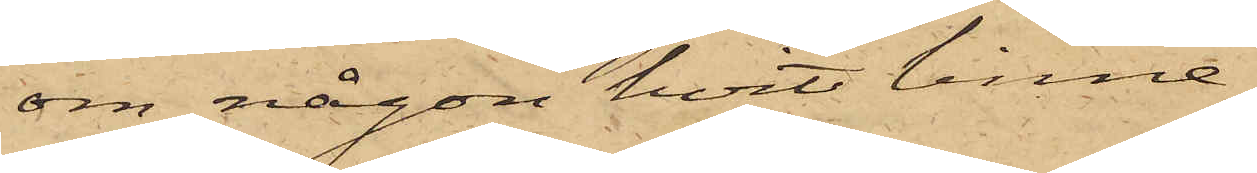om någon hvit linne¬
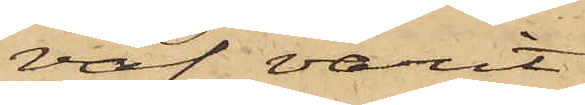väf varit
